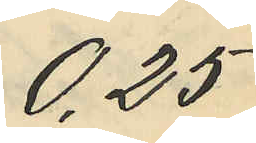0,25
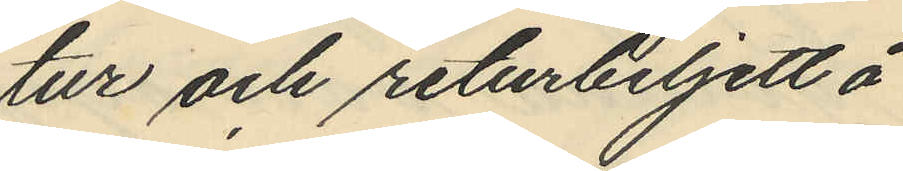tur och returbiljett å
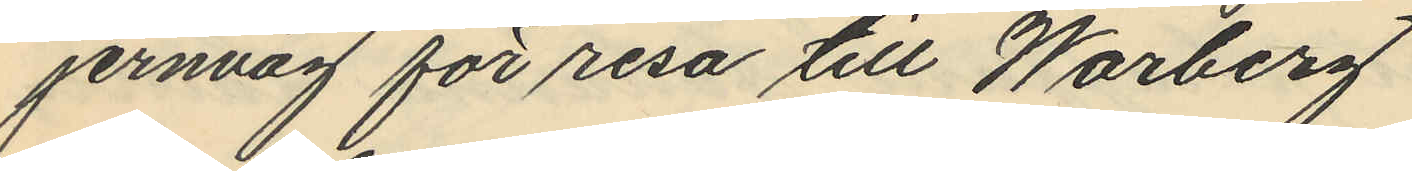jernväg för resa till Warberg
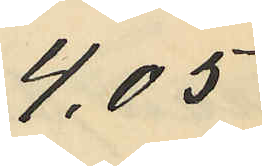4,05
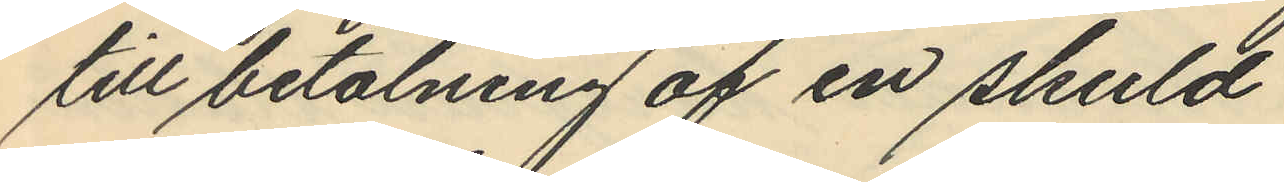till betalning af en skuld
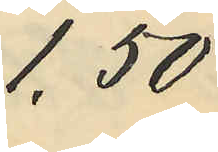1,50
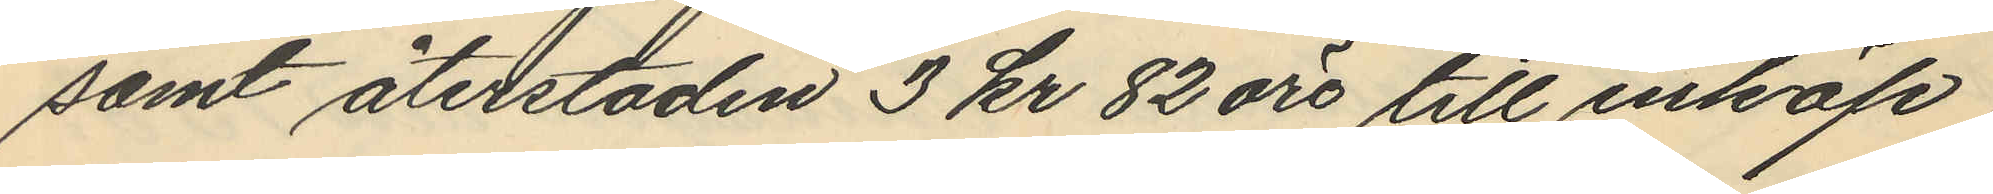samt återstoden 3 kr 82 öre till inköp
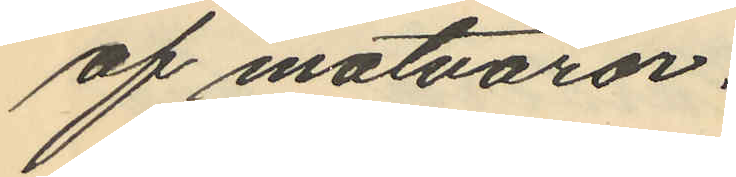af matvaror.
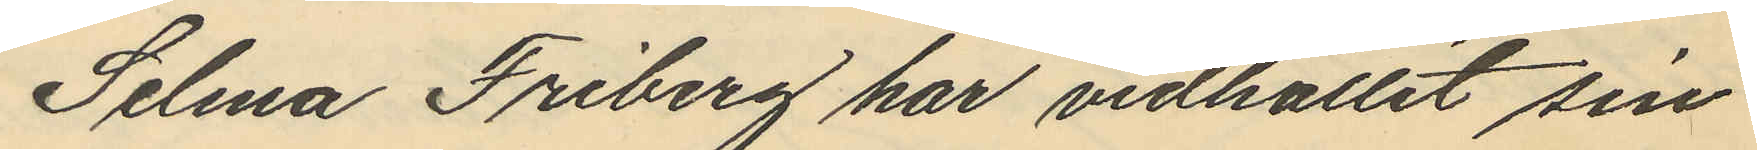Selma Friberg har vidhållit sin
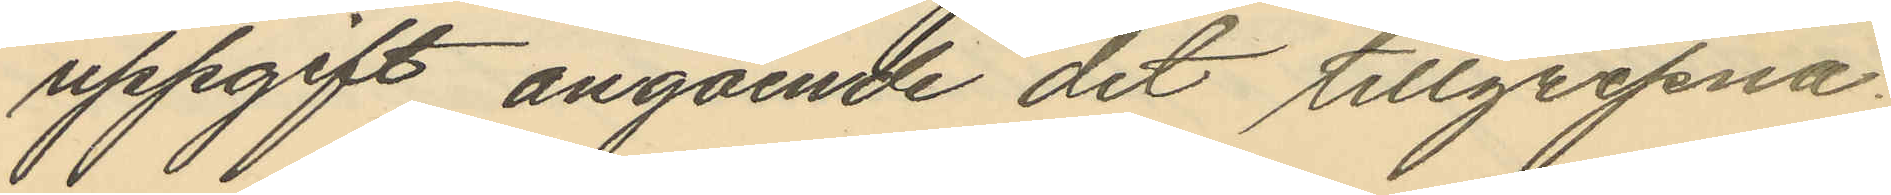uppgift angående det tillgripna
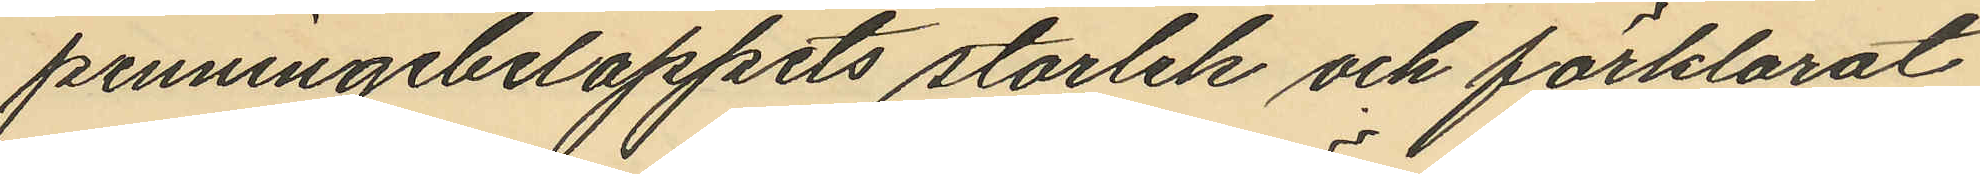penningebeloppets storlek och förklarat
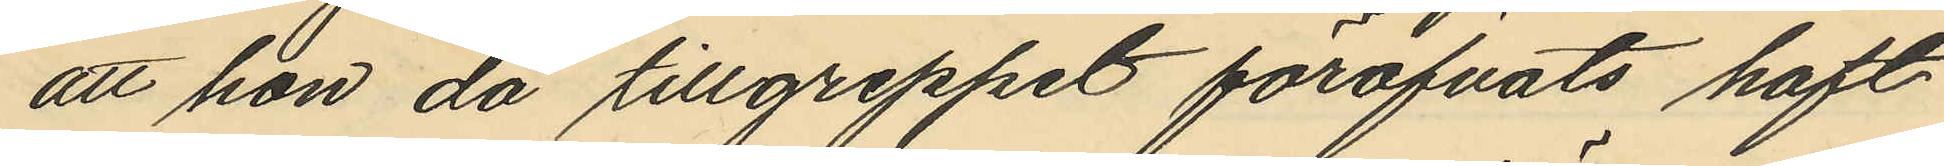att hon då tillgreppet föröfvats haft
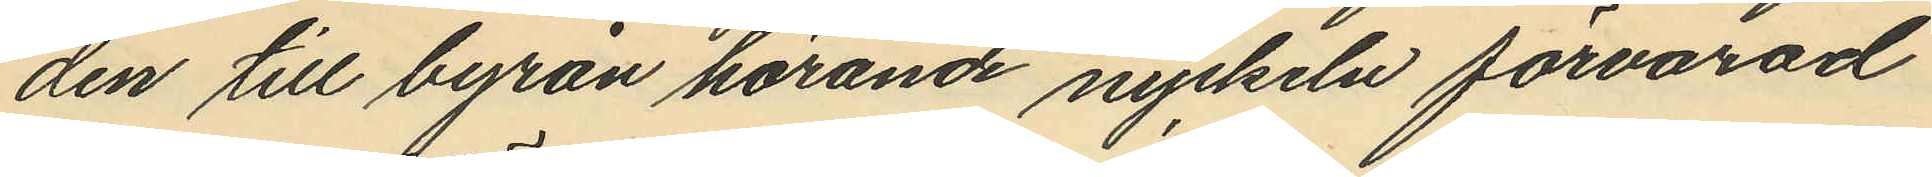den till byrån hörande nyckeln förvarad
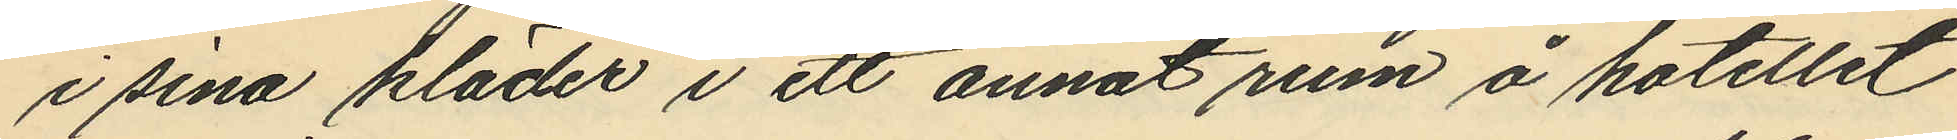i sina kläder i ett annat rum å hotellet
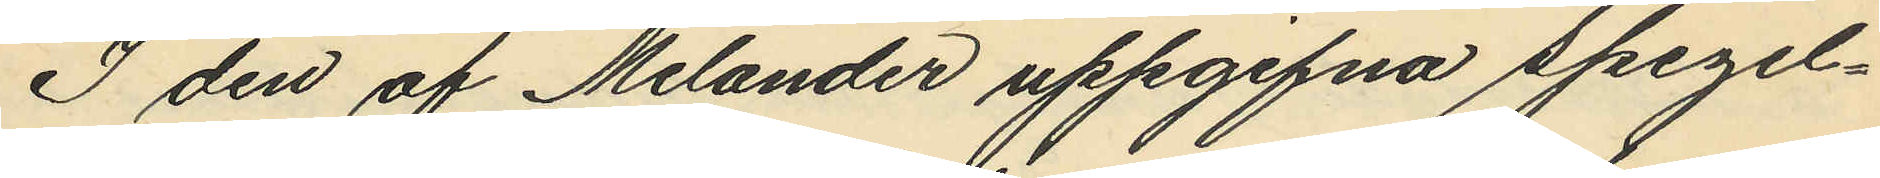I den af Melander uppgifna spegel¬
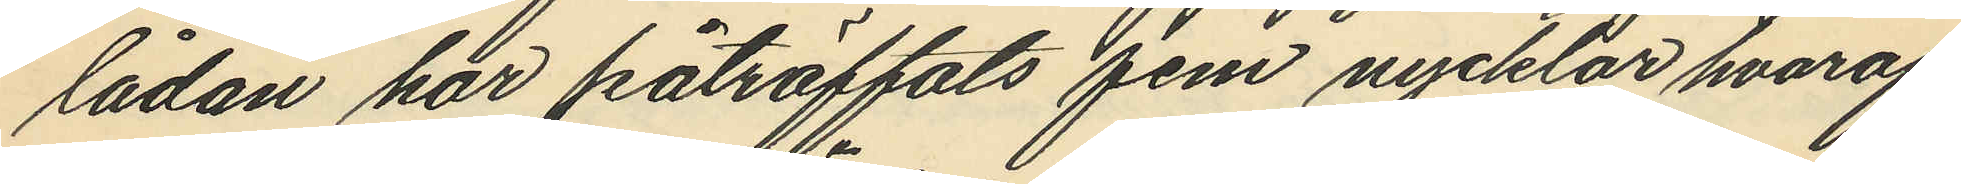lådan har påträffats fem nycklar hvaraf
